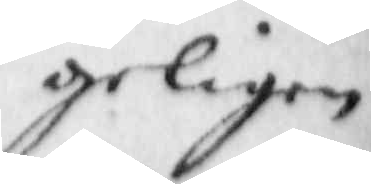geligen
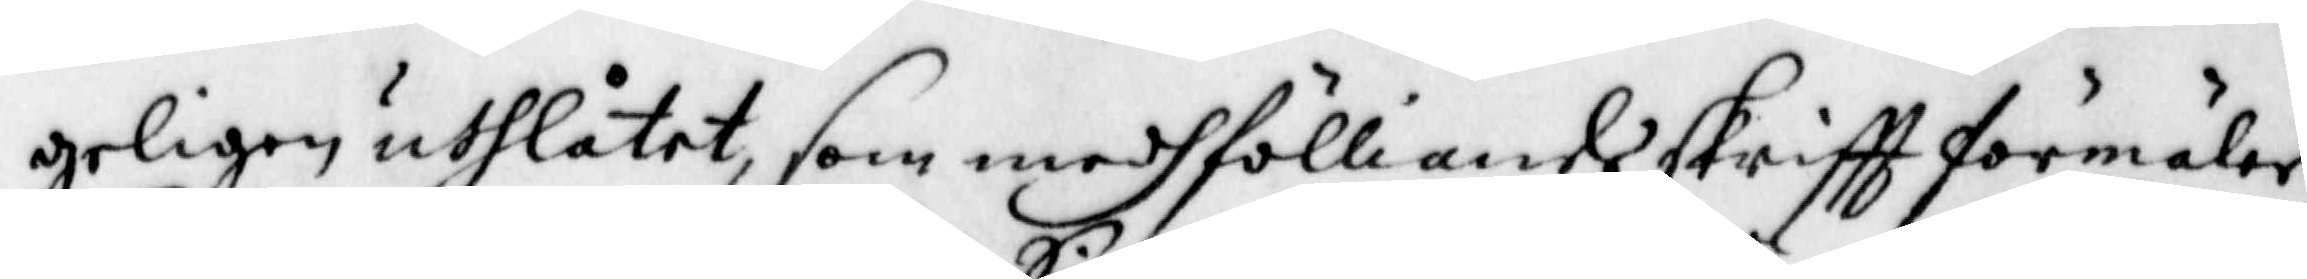geligen uthlåtit, som medhfölliande skrifft förmäler.
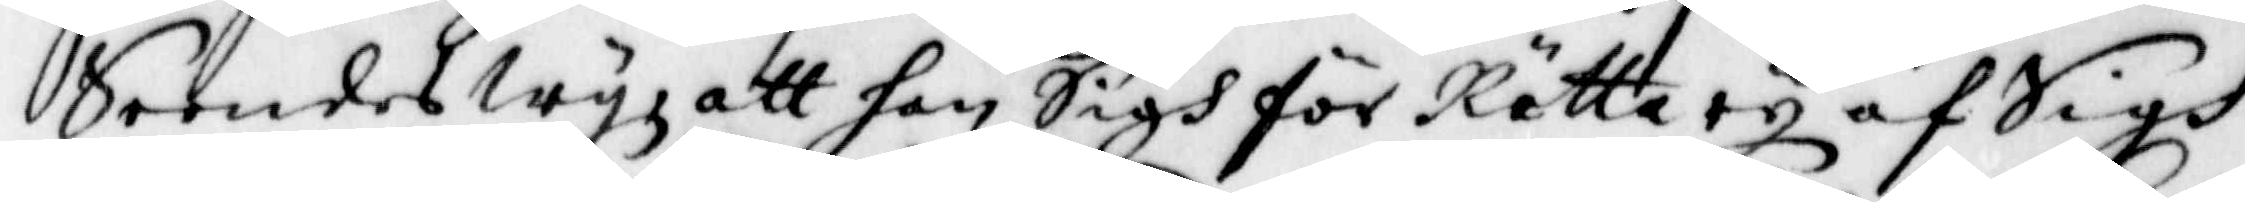Seendes Wij att han Sigh för Rätta ey af Sigh
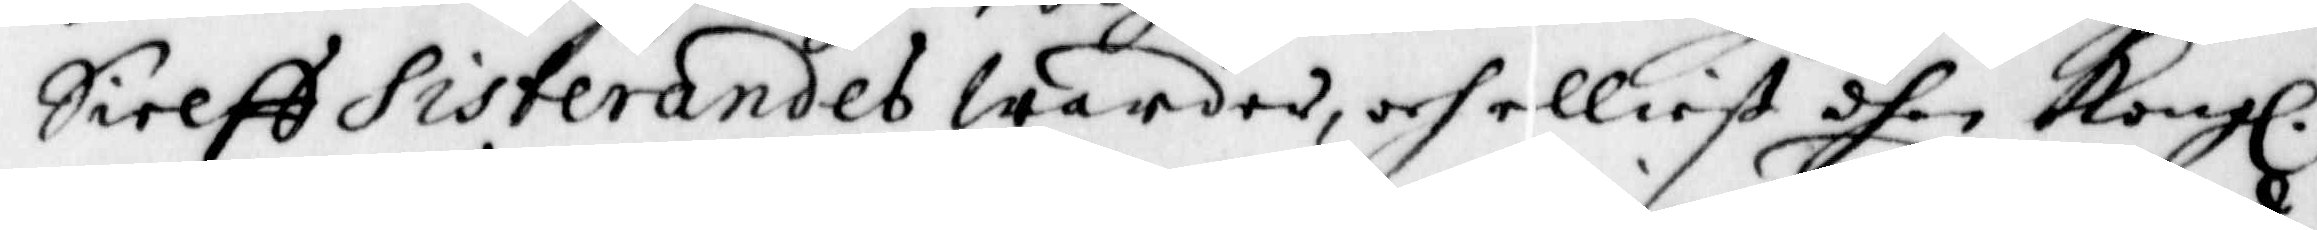Sielff Sisterandes Warder, och elliest dhen Kongl.
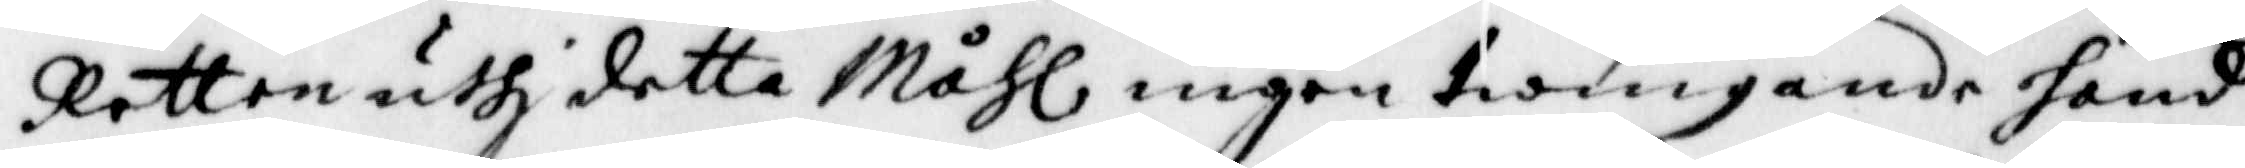Retten uthj detta Måhl ingen twingande hand
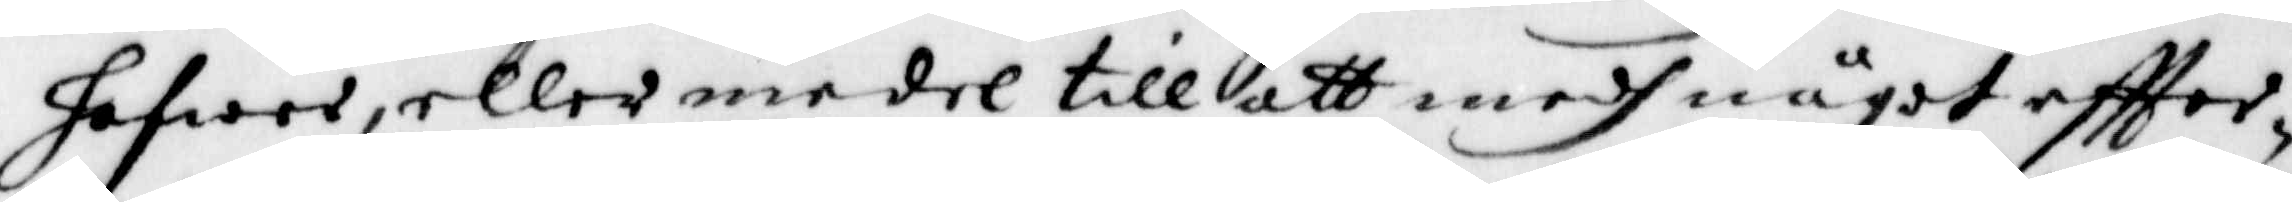hafwer, eller medel till att medh något effter¬
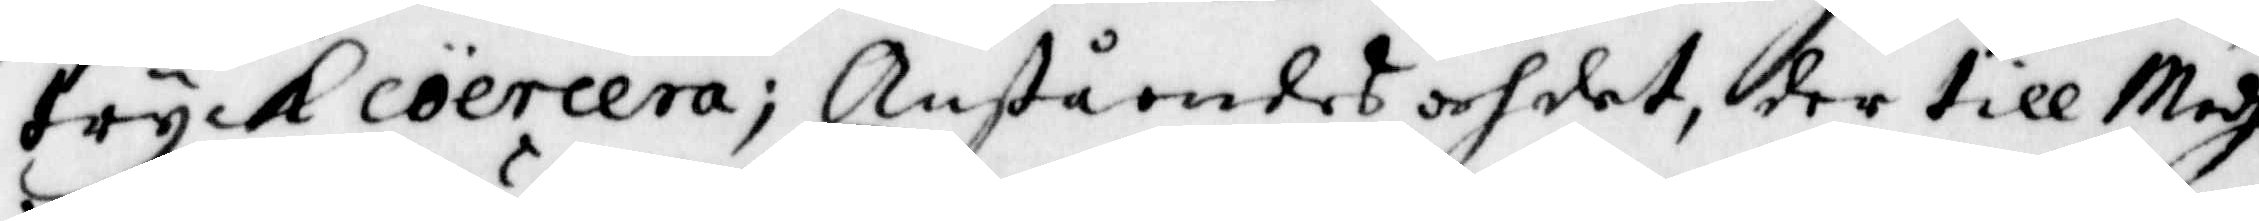tryck coercera; Anståendes och det, der till Modh
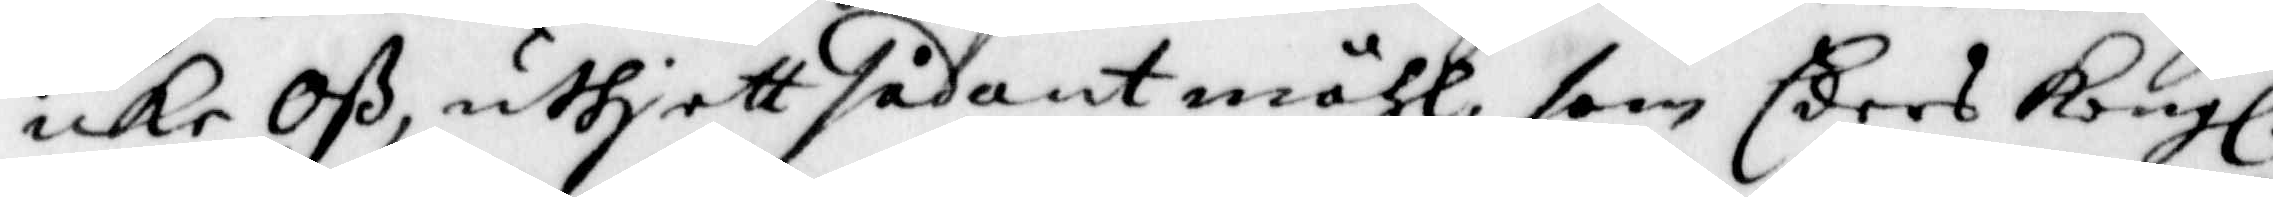icke Oß, uthj ett sådant måhl, som Eders Kongl.
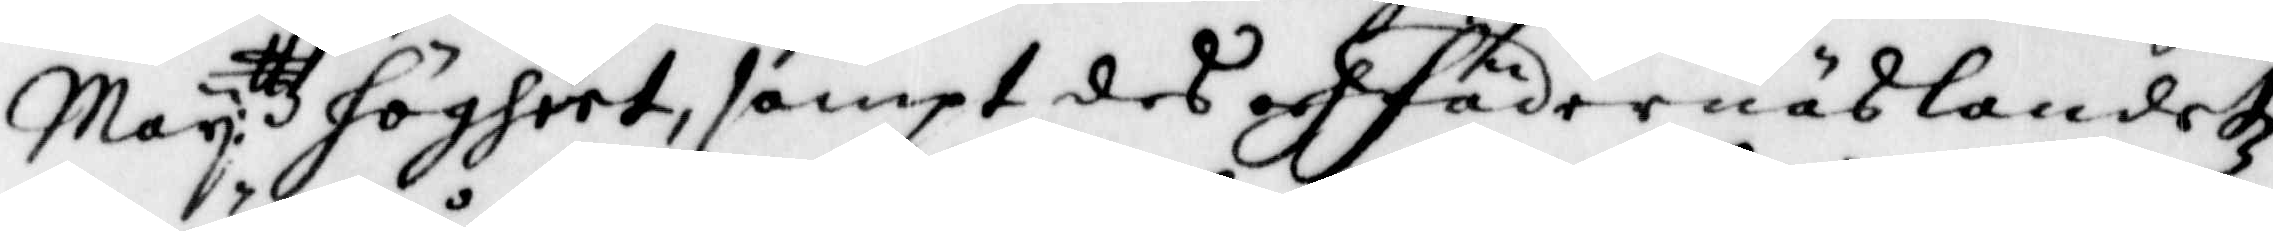Maij:ttz högheet, sampt des och Fädernäslandetz
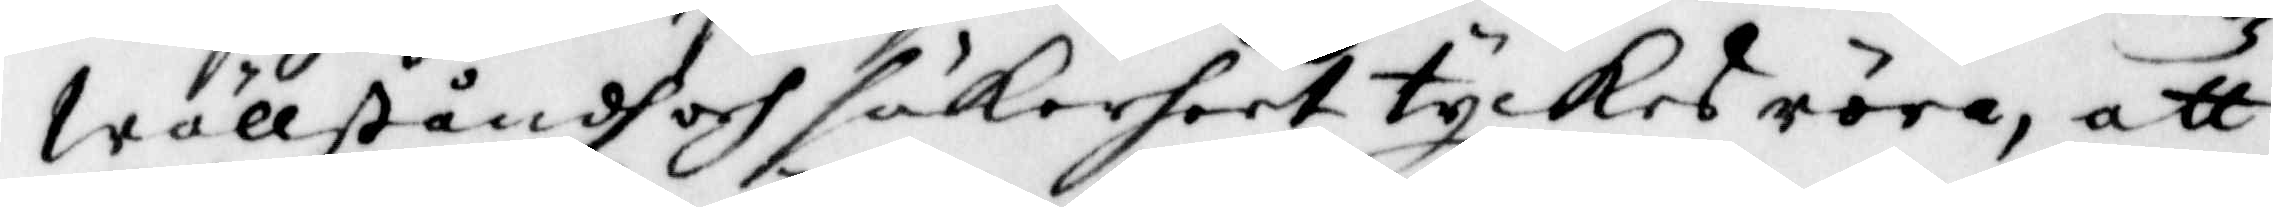Wällståndh och säkerheet tyckes röra, att
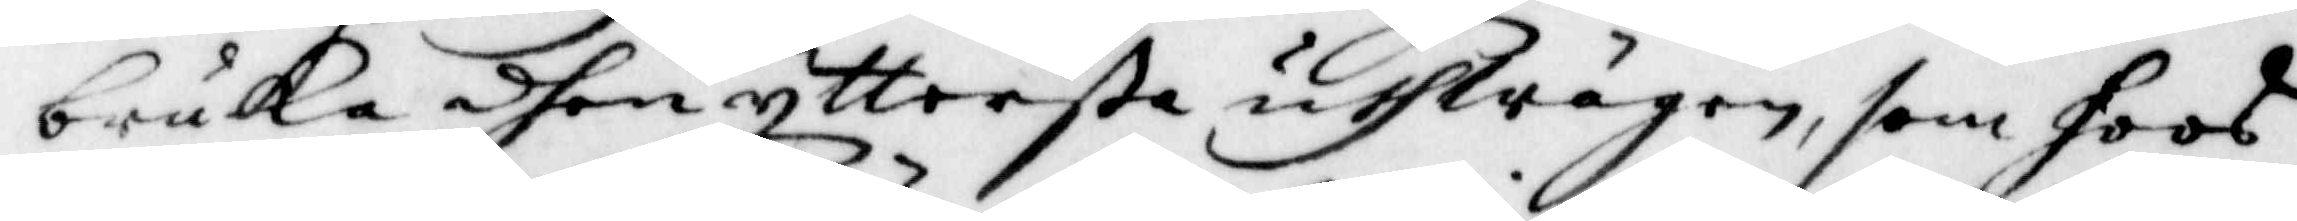bruka dhen yttersta uthwägen, som hoos
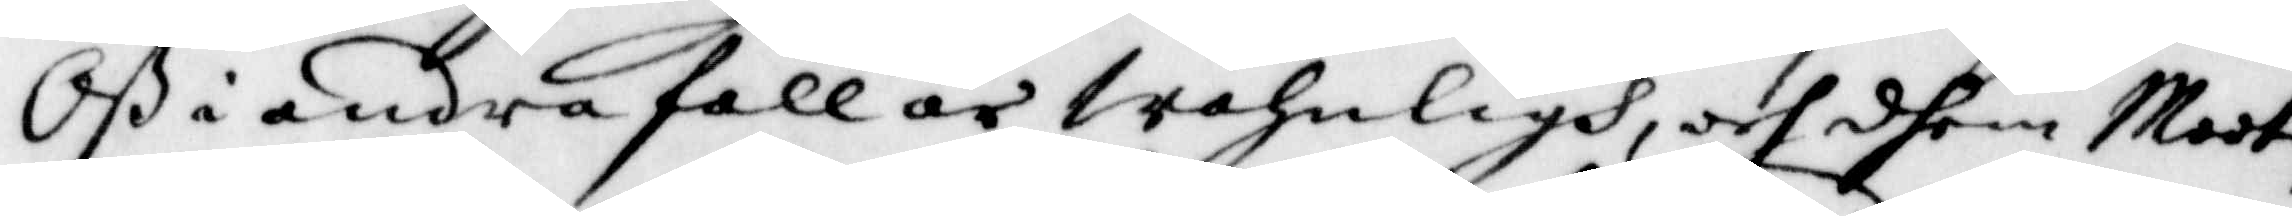Oß i andra fall är Wahnligh, och dhem Moot¬
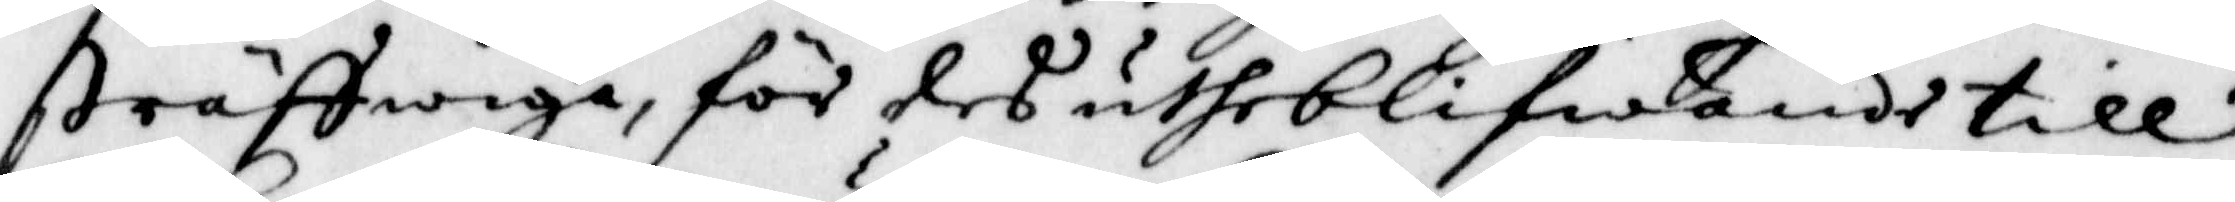sträffwiga, för des utheblifwande till
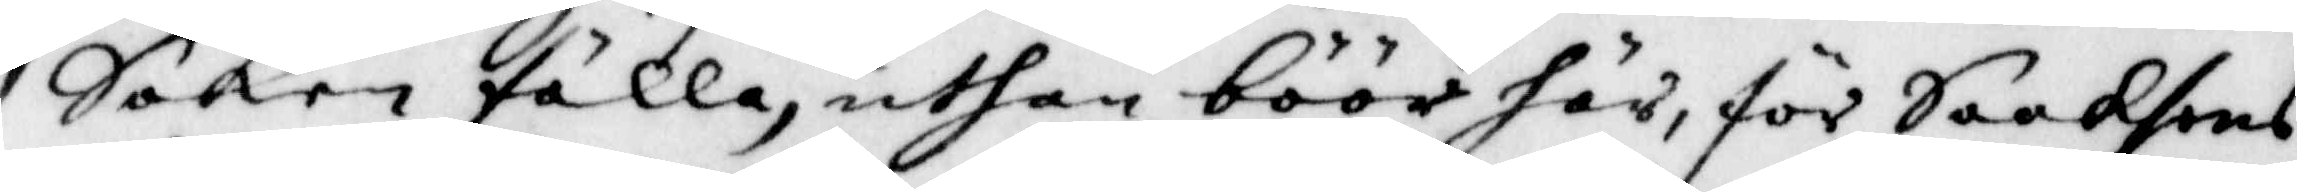Saken fälla, uthan böör här, för Saakhens
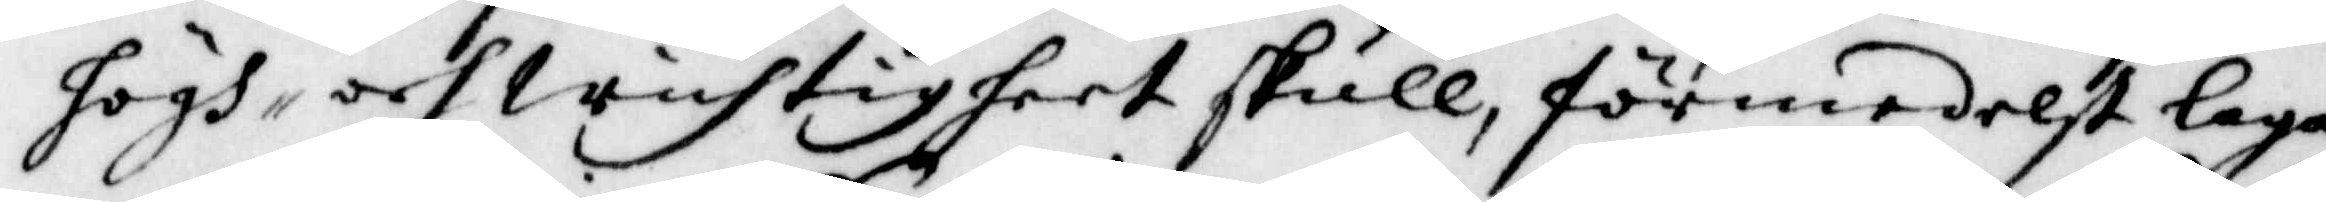högh¬ och Wichtighet skull, förmedelst laga
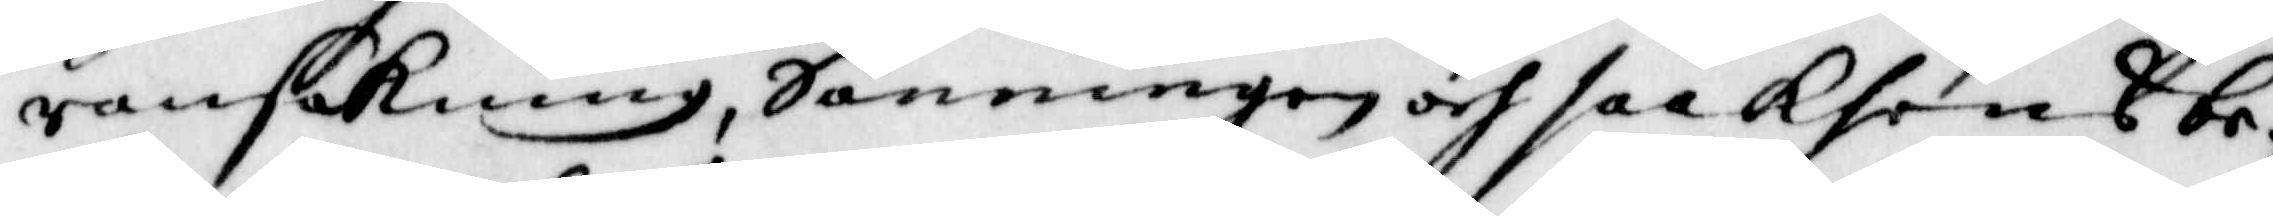ransakning, Sanningen och saakhens be¬
